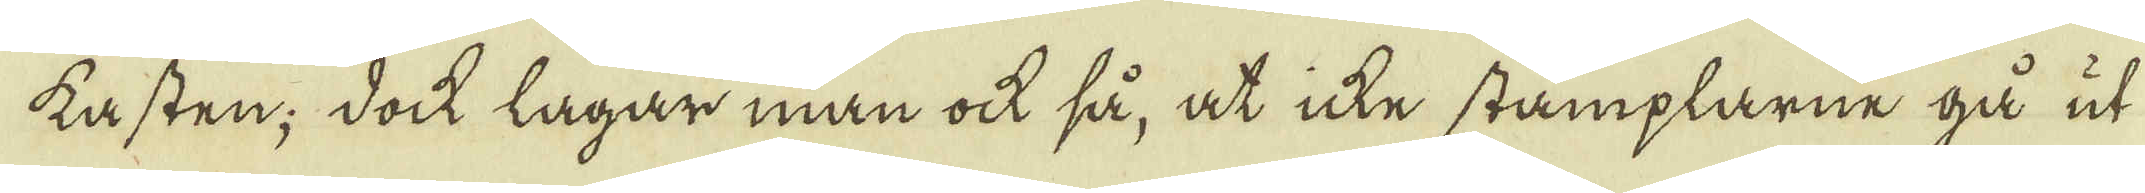kasten; doch lägar man ock så, at icke stämplarne gå ut
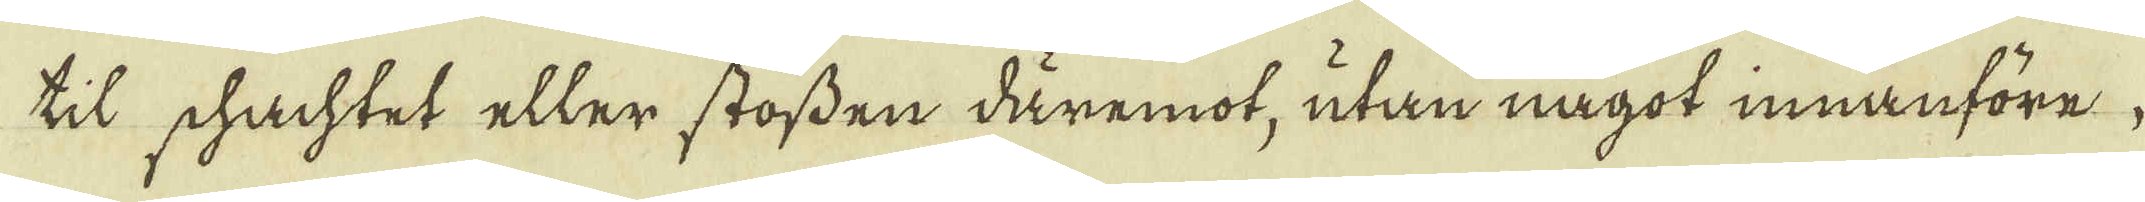til schachtet eller stossen däremot, utan något innanföre,
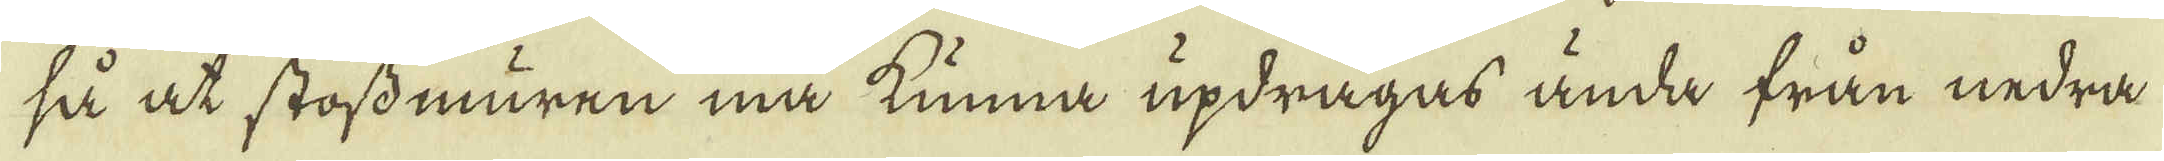så at stossmuren må kunna updragas ända från nedra
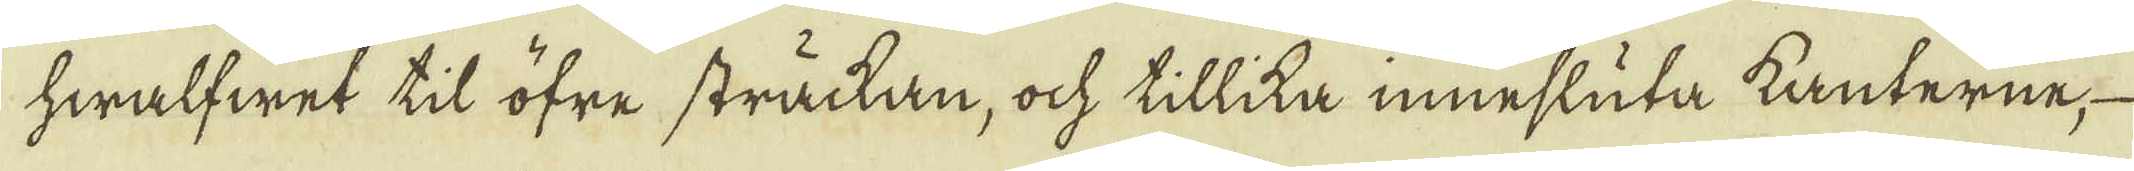hwalfwet til öfre sträckan, ock tillika innesluta kanterne,
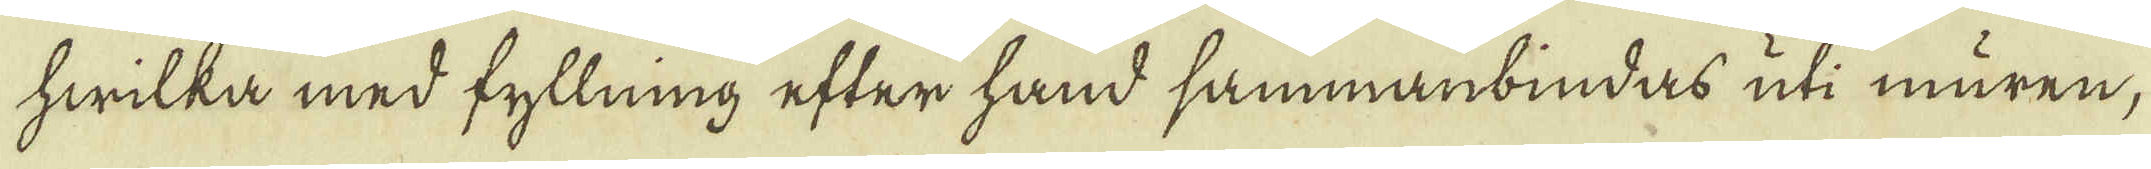hwilka med fyllning efter hand sammanbindas uti muren;
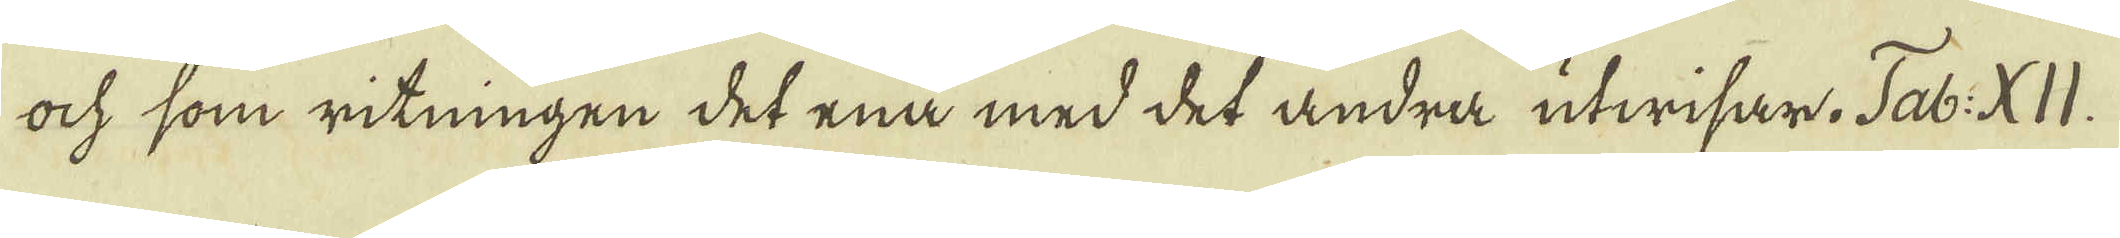ock som ritningen det ena med det andra utwisar. Tab: XII.
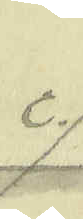c.
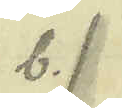b.
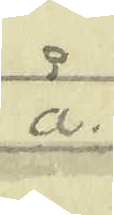a.
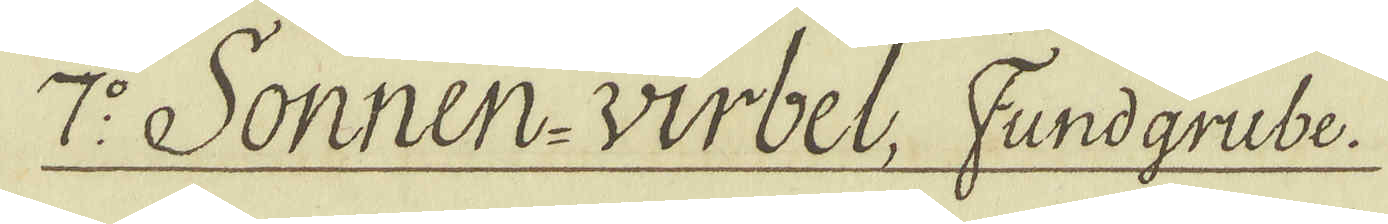7:o Sonnen-Wirbel, Fundgrube.
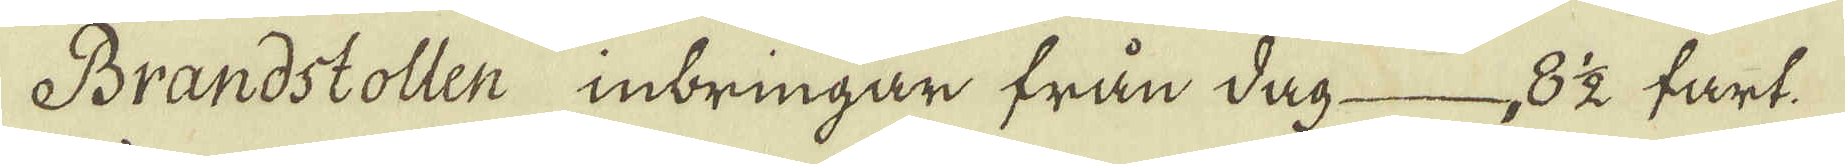Brandstollen inbringar från dag 8 1/2 fart.
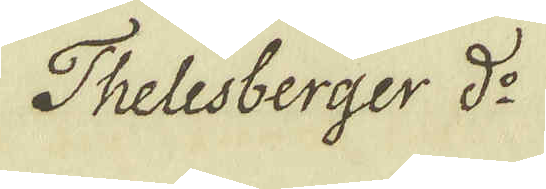Thelesberger d:o
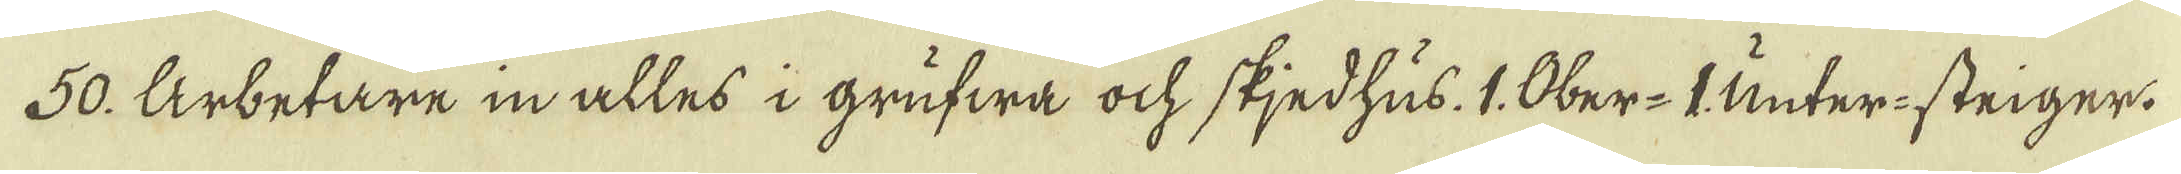50. Arbetare in alles i grufwa ock skjedhus. 1. Ober-I Unter-steiger.
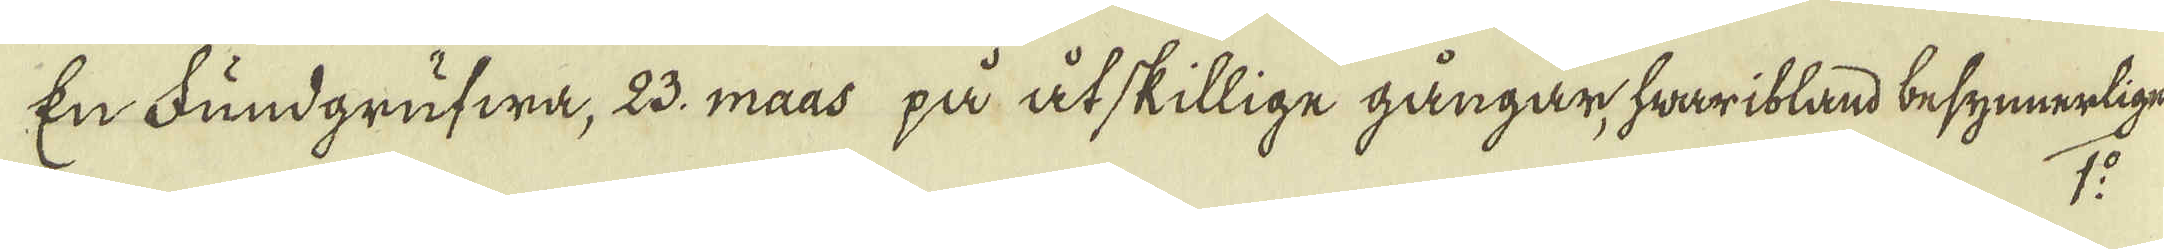En Fundgrufwa, 23. maas på åtskillige gångar, hwaribland besynnerlige
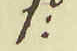1:o
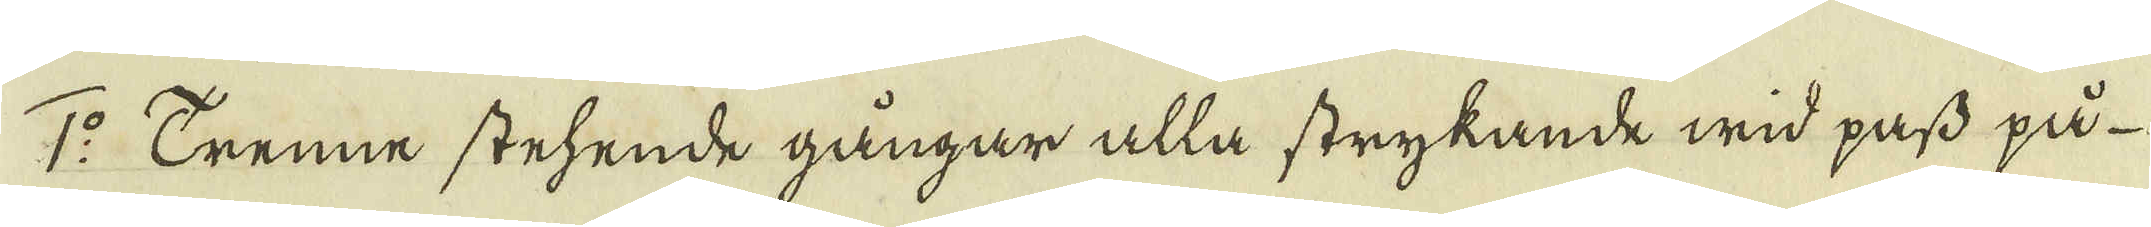1:o Trenne stehende gångar alla strykande wid pass på
